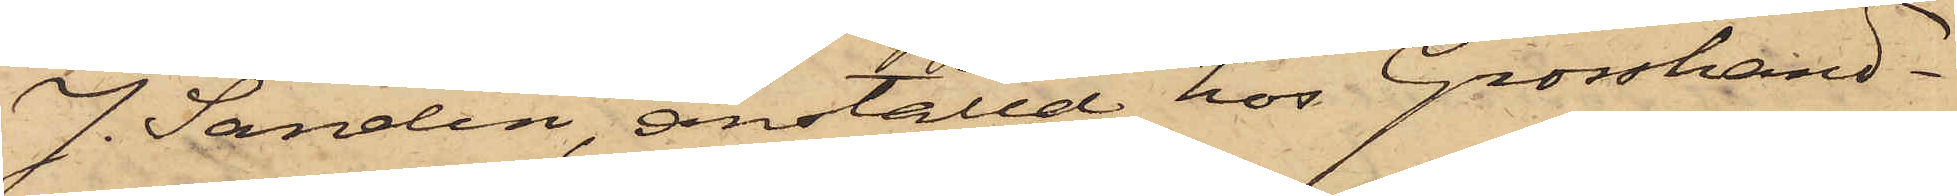J. Sandin, anställd hos Grosshand¬
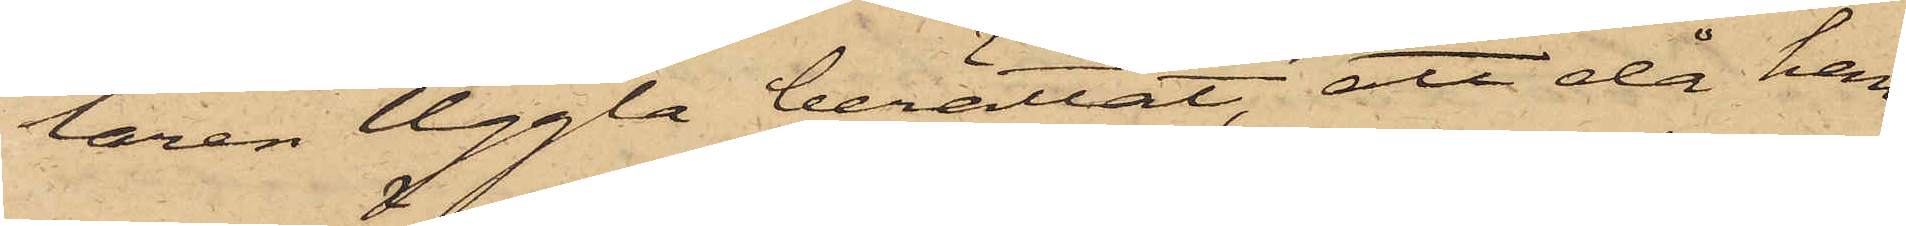laren Uggla berättat, att då han
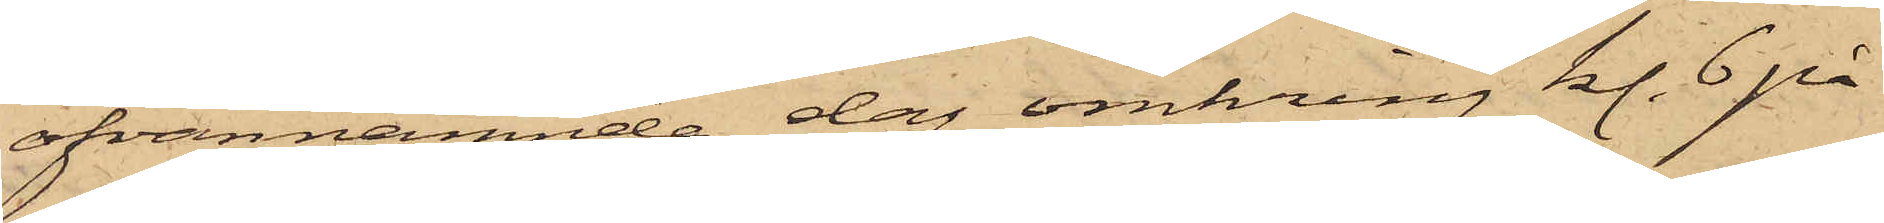ofvannämnde dag omkring kl. 6 på
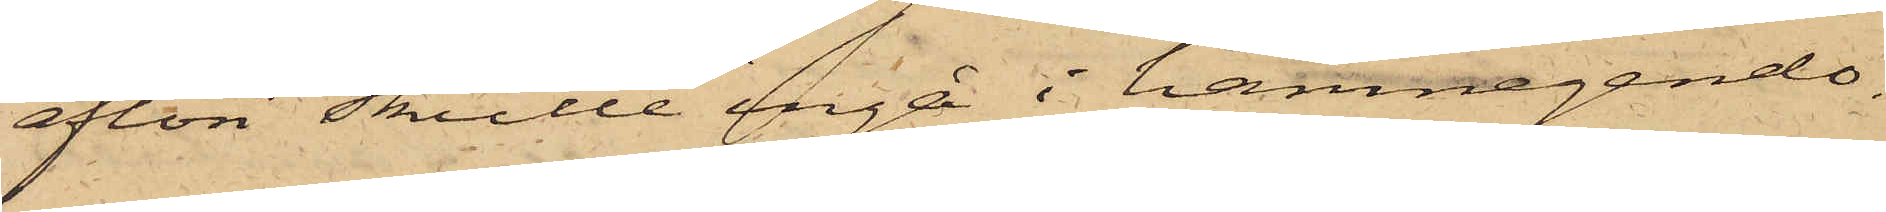afton skulle ingå i hamnegendo¬
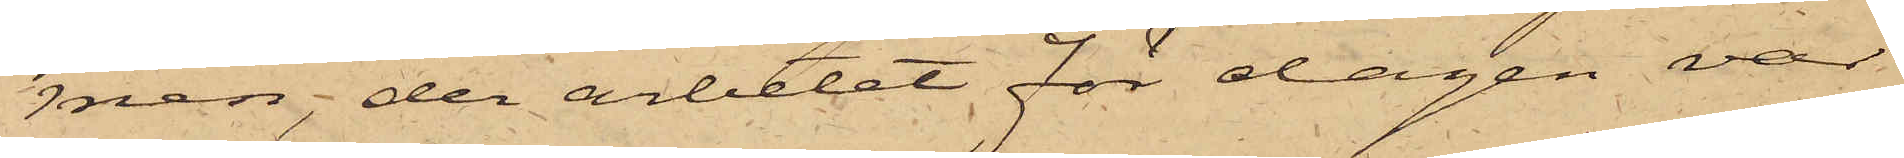men, der arbetet för dagen var
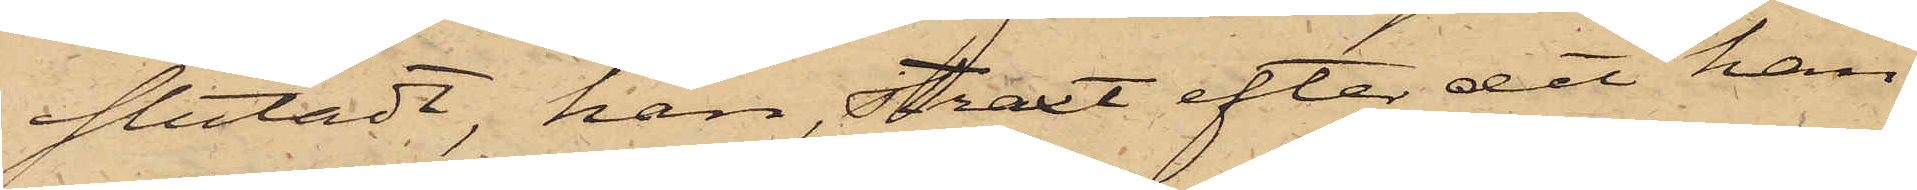slutadt, han, straxt efter det han
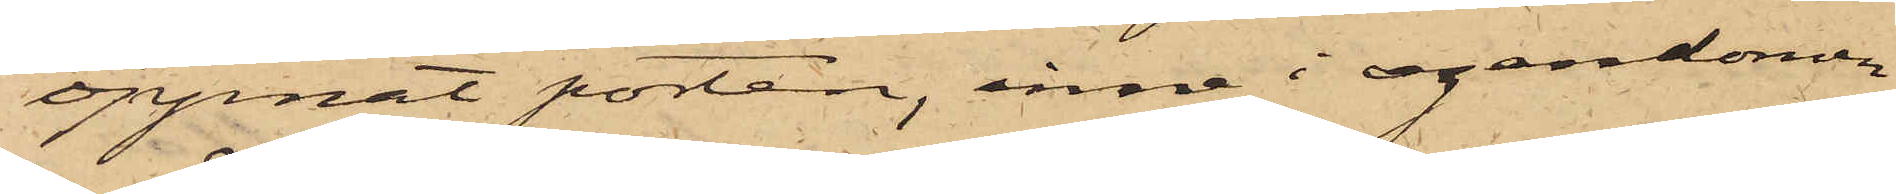öppnat porten, inne i egendomen
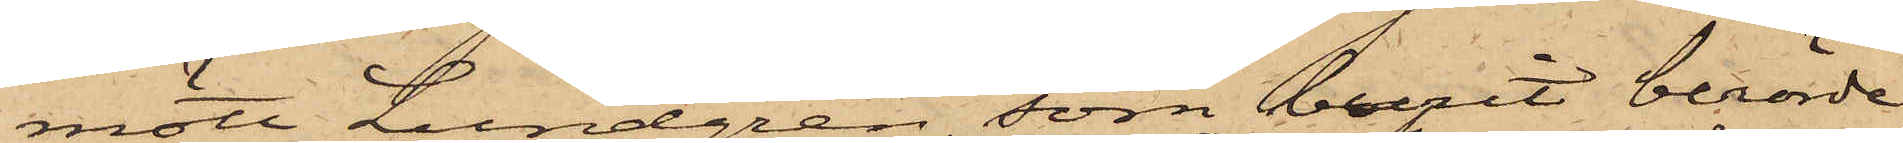mött Lundgren, som burit berörde
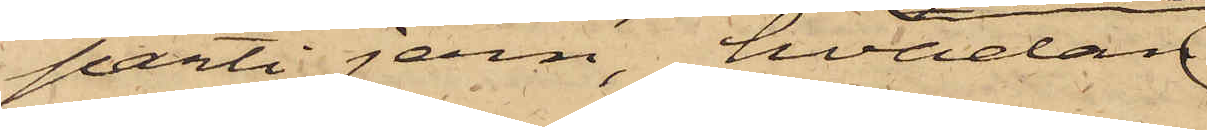parti jern, hvadan
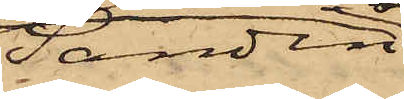Sandin
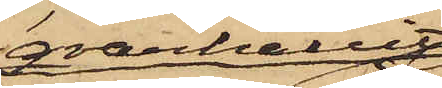qvarhållit
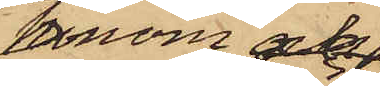honom och
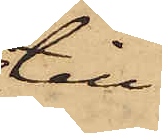till¬
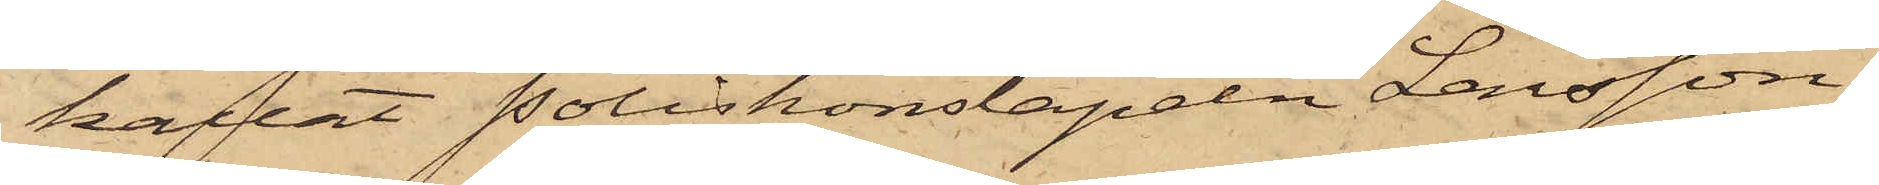kallat Poliskonstapeln Larsson;
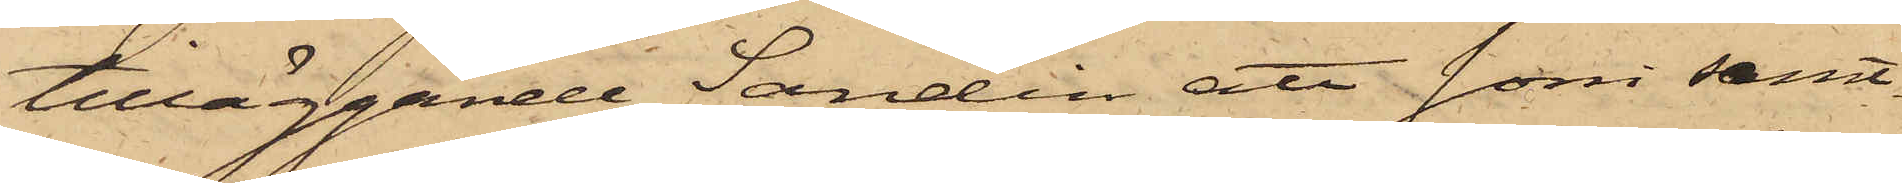tilläggande Sandin att som samt¬
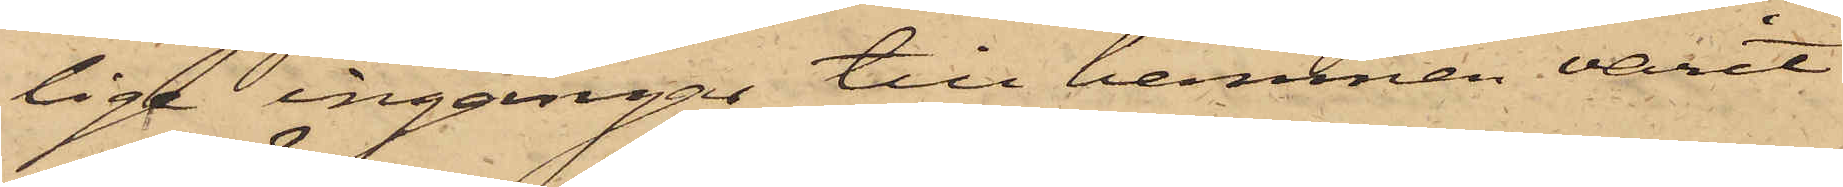lige ingångar till hamnen varit
